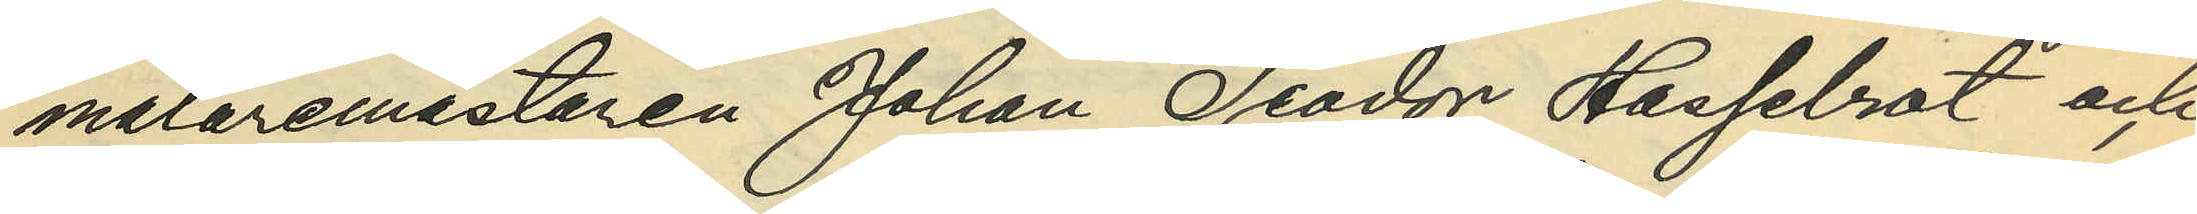målaremästaren Johan Teodor Hasselrot och
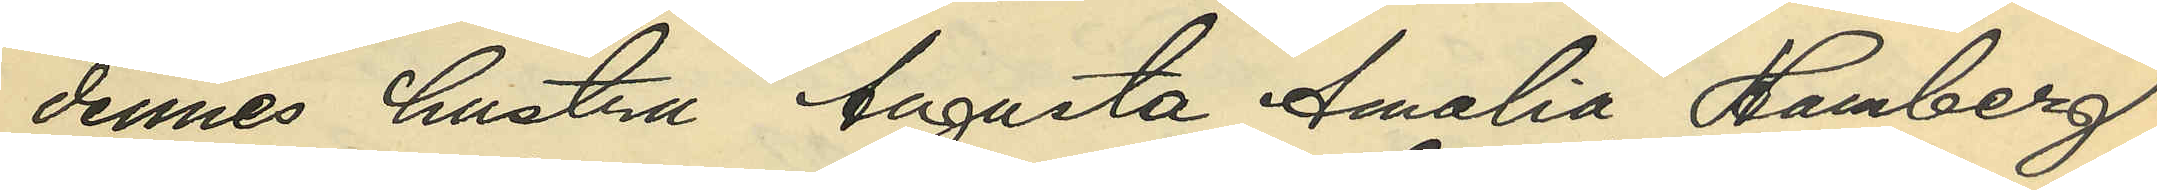dennes hustru Augusta Amalia Hamberg,
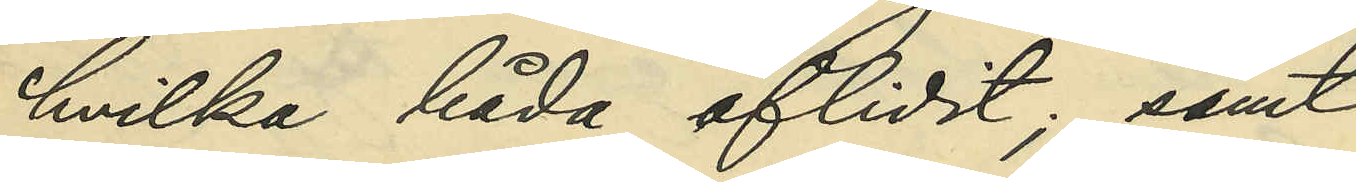hvilka båda aflidit; samt
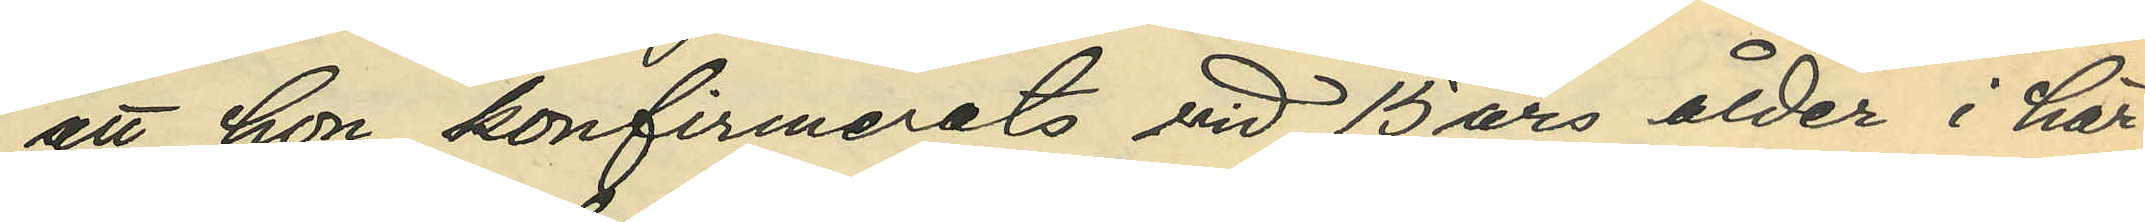att hon konfirmerats vid 15 års ålder i här¬
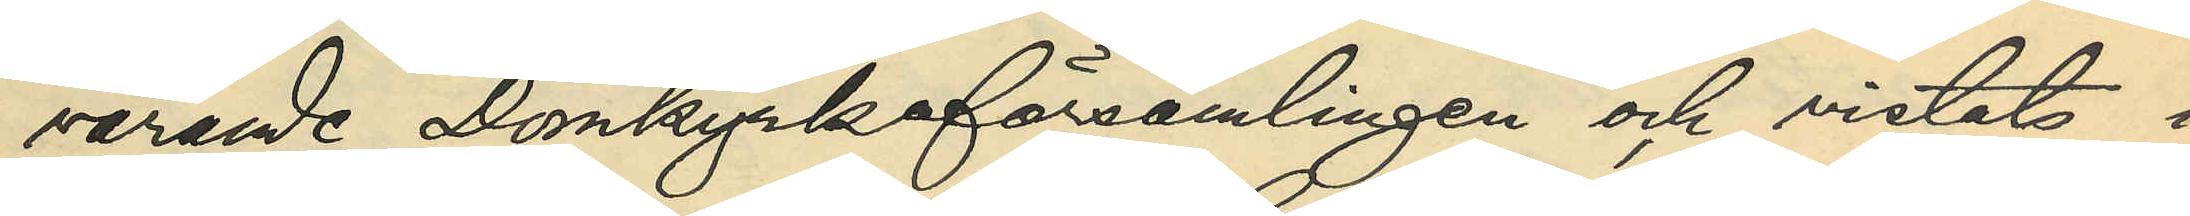varande Domkyrkoförsamlingen och vistats i
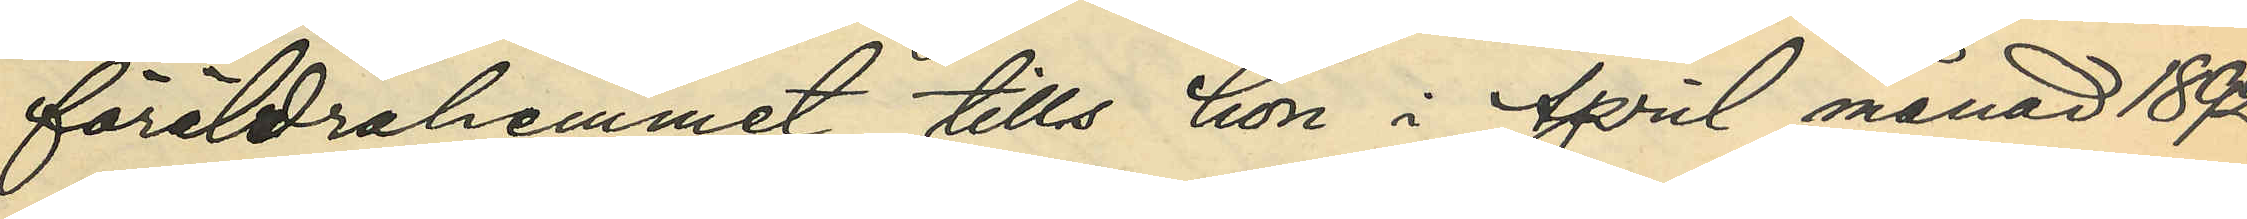föräldrahemmet tills hon i April månad 1892
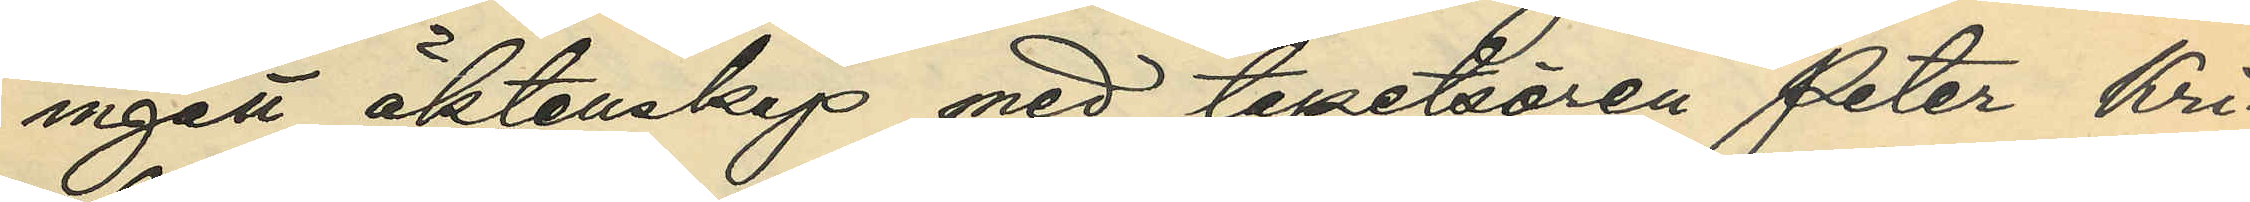ingått äktenskap med tapetsören Peter Kri¬
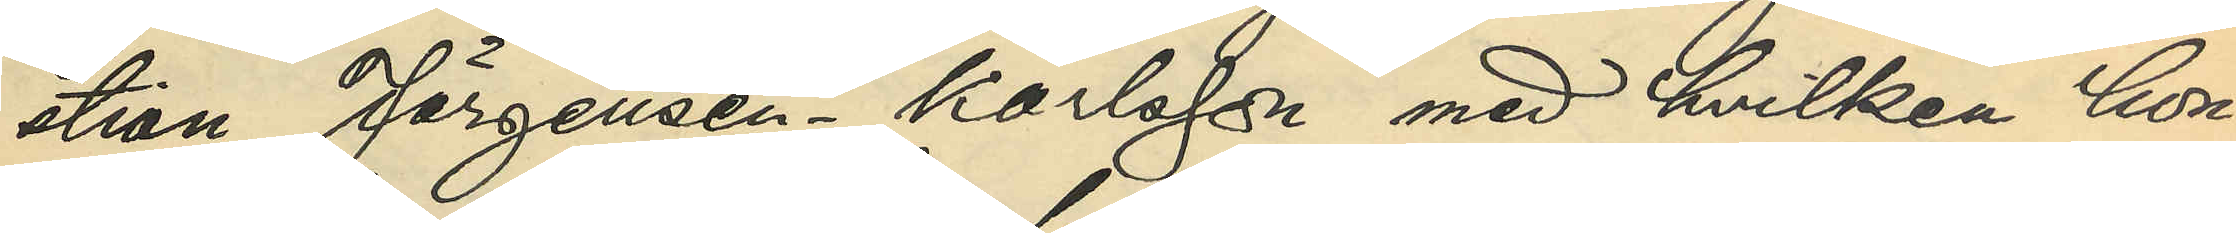stian Jörgensen - Karlsson med hvilken hon
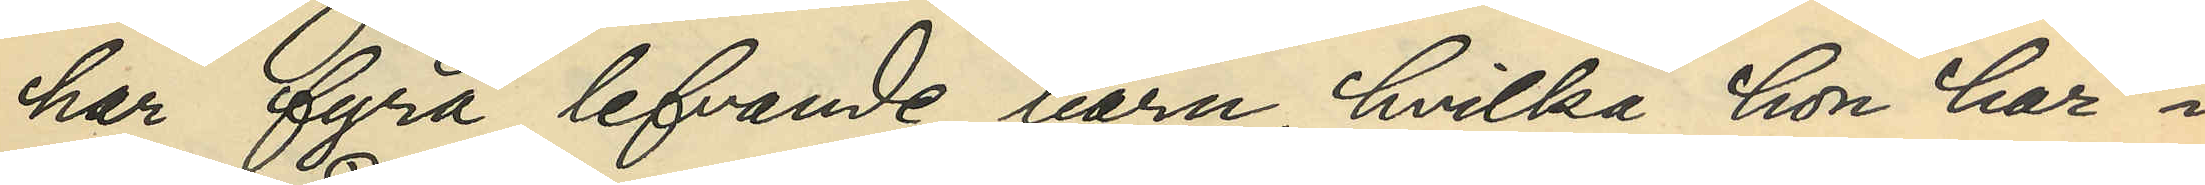har fyra lefvande barn, hvilka hon har i
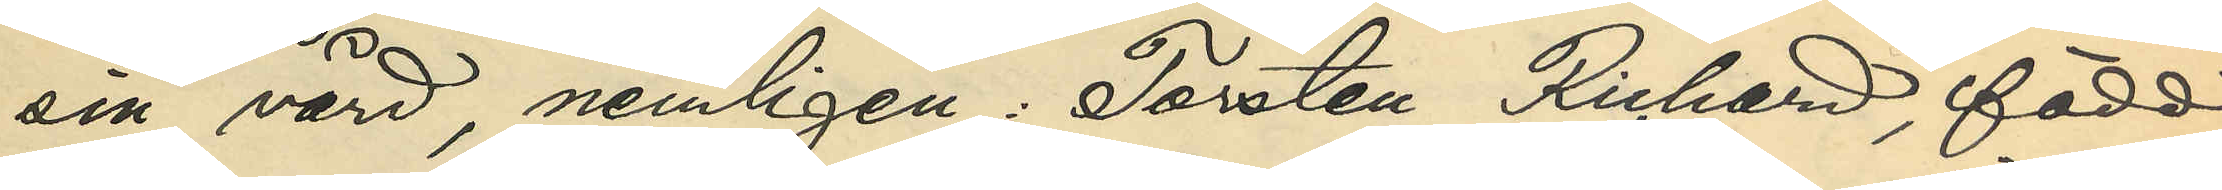sin vård, nemligen: Torsten Richard, född
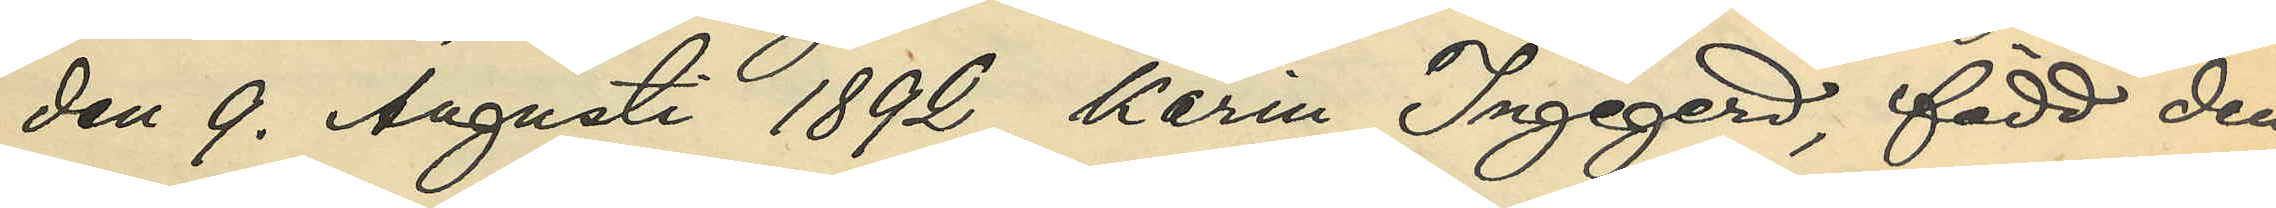den 9. Augusti 1892, Karin Ingegerd, född den
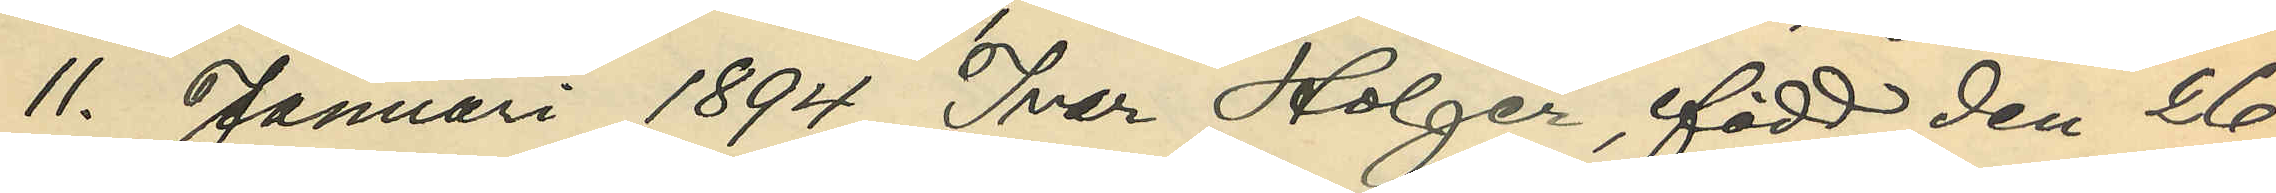11. Januari 1894, Ivar Holger, född den 26.
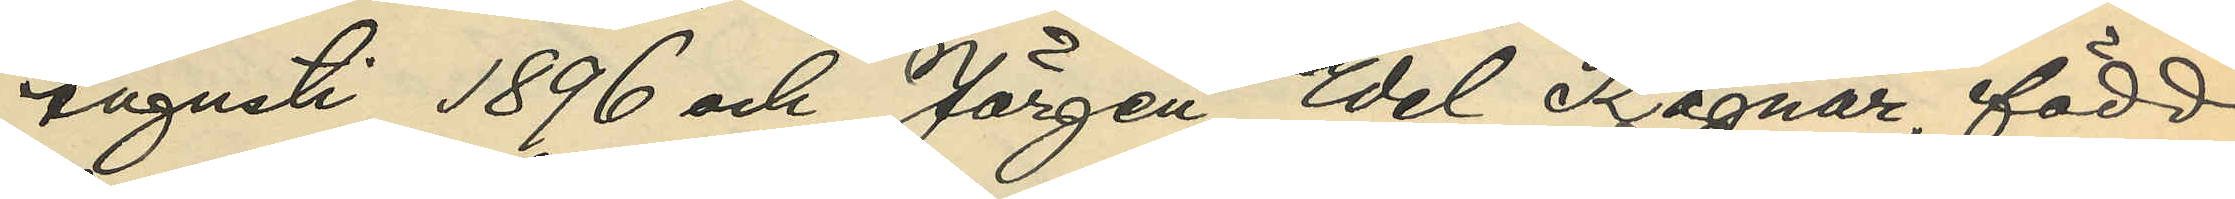Augusti 1896 och Jörgen Edel Ragnar, född
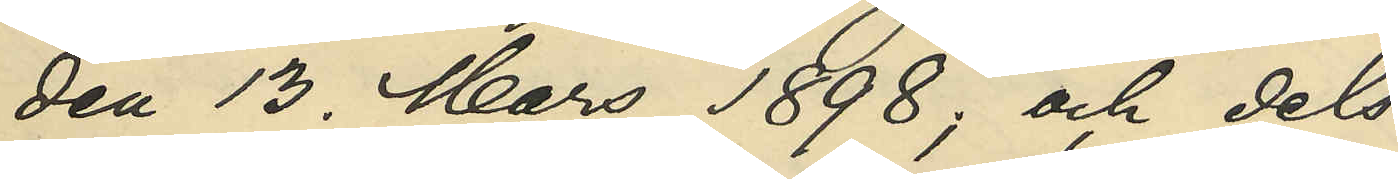den 13. Mars 1898; och dels
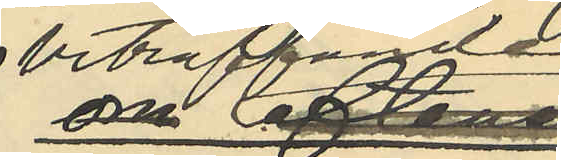beträffande
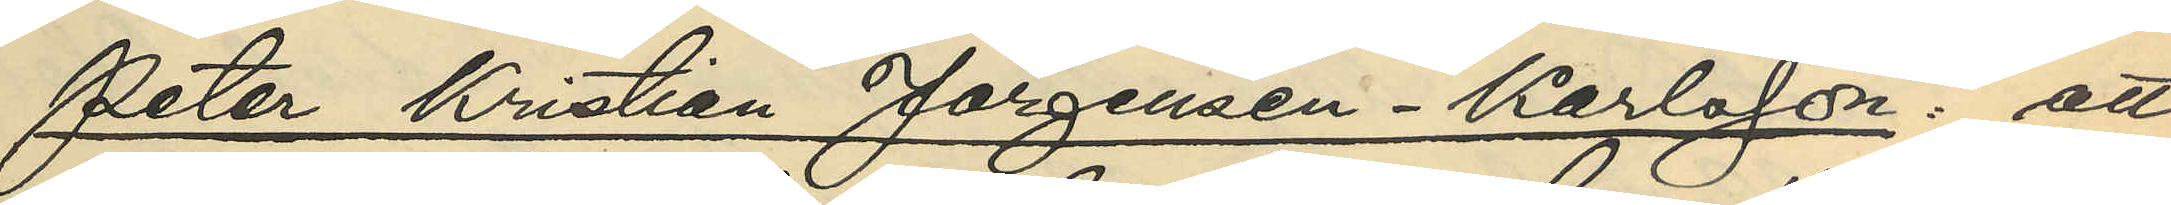Peter Kristian Jörgensen - Karlsson: att
